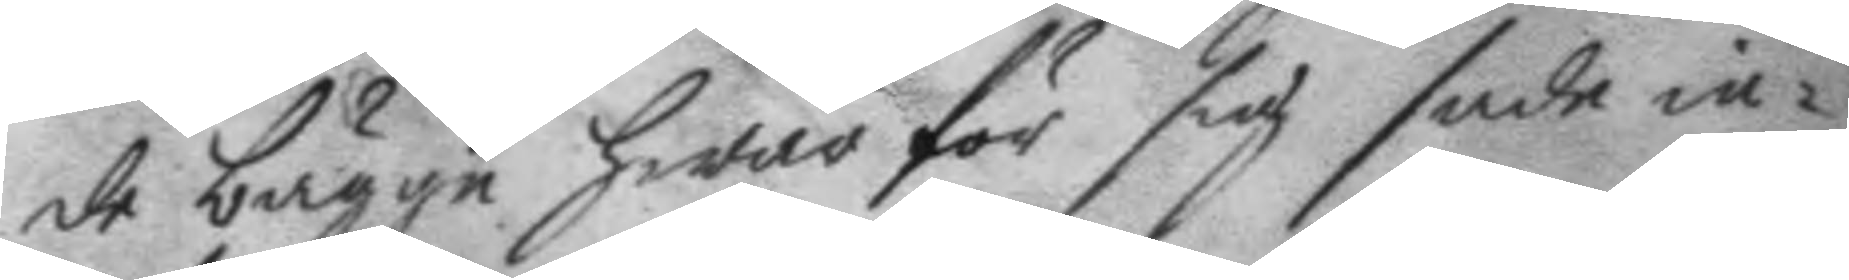de bägge hwar för sig sade in¬
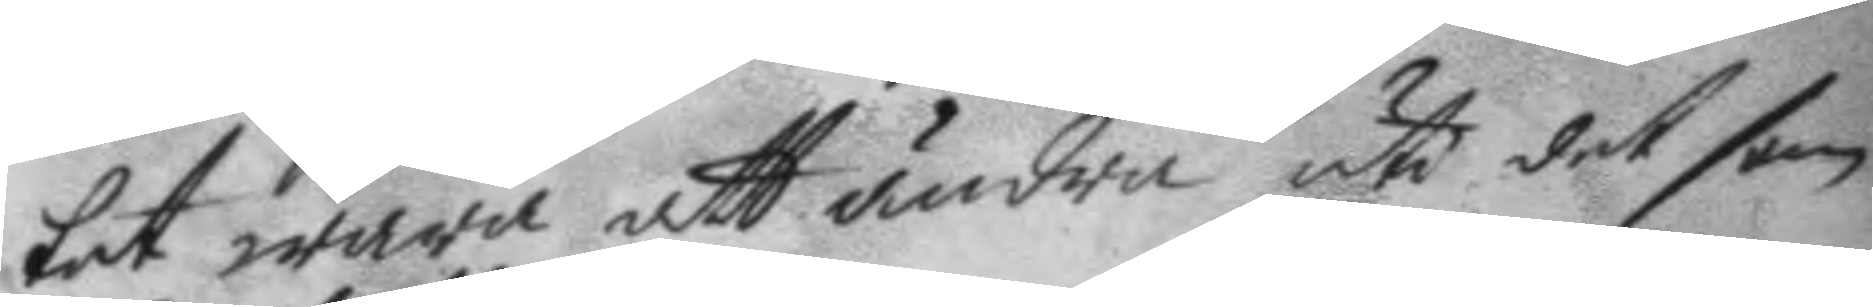tet wara att ändra uti det som
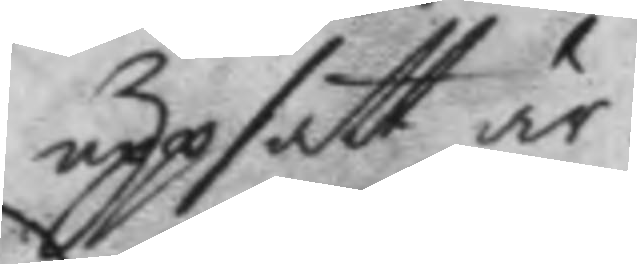uppsatt är.
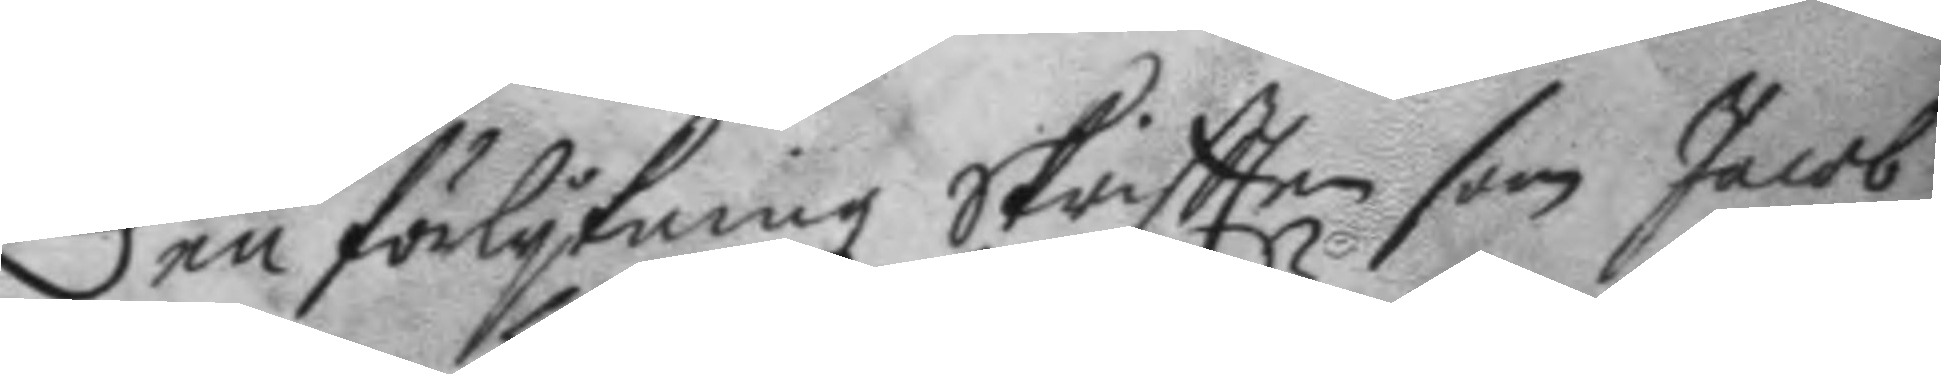Den förlykningz skriftten som Jacob
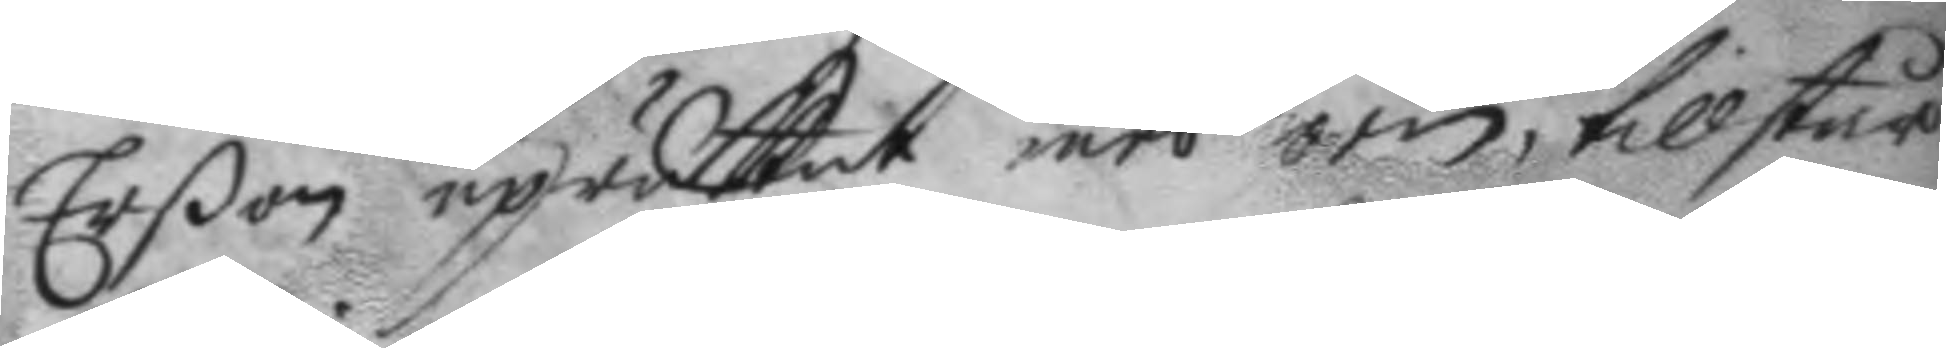Eron uprättat med örn, tillstår
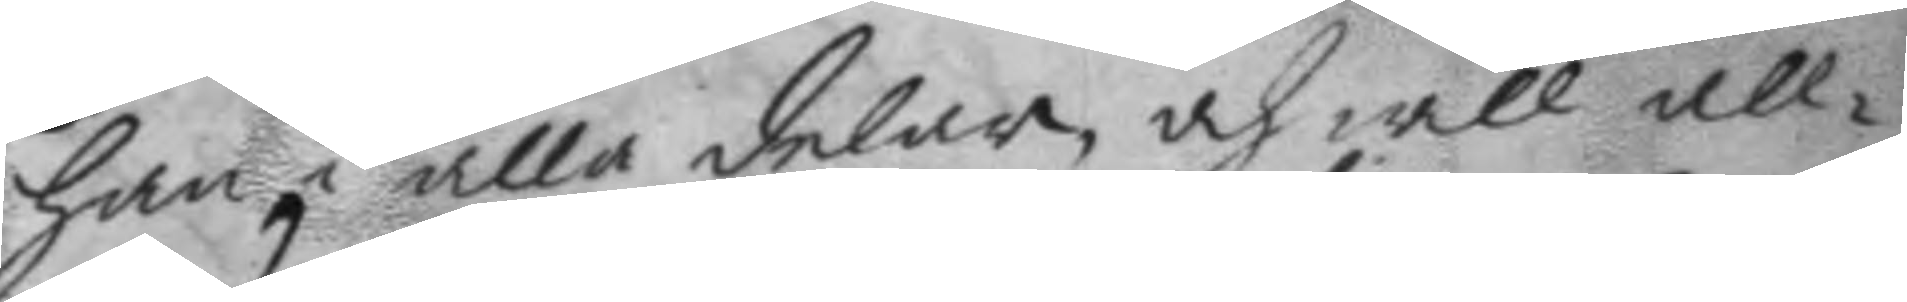han i alla delar och will all¬
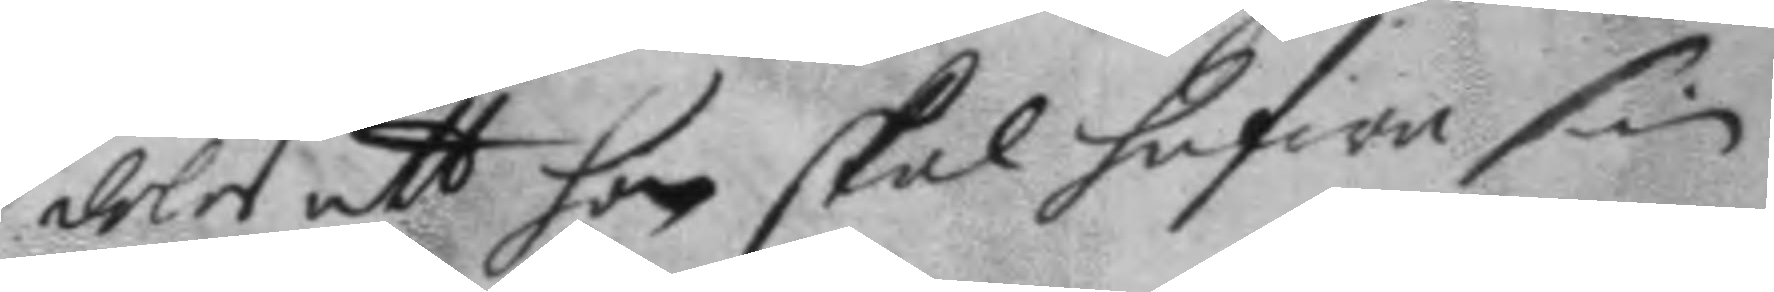deles att hon skal hafwa sin 
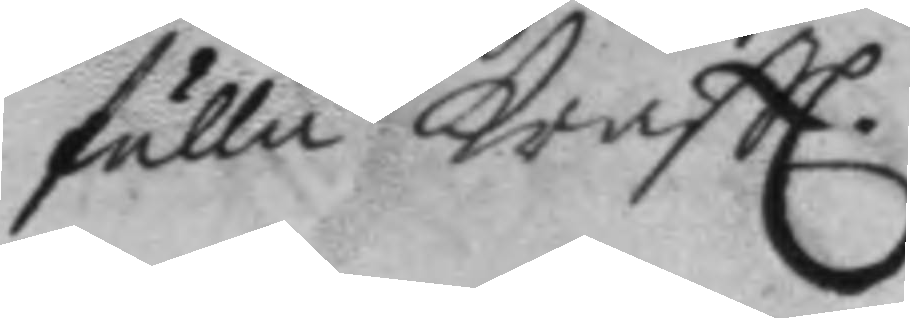fulla kraftt.
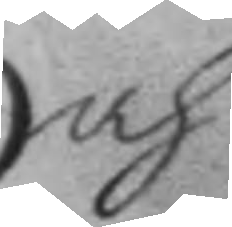och
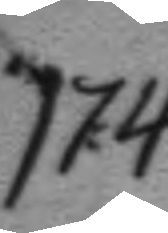174.
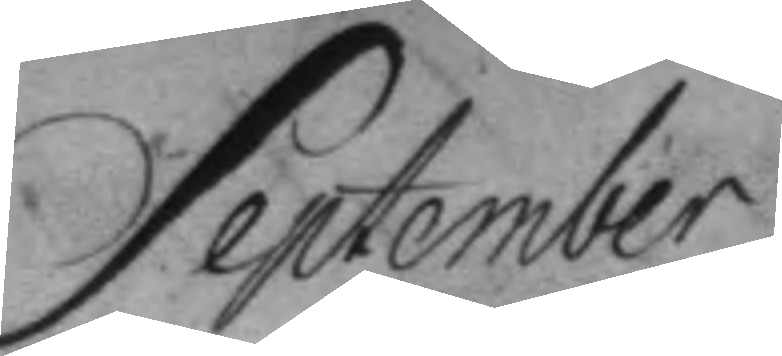September
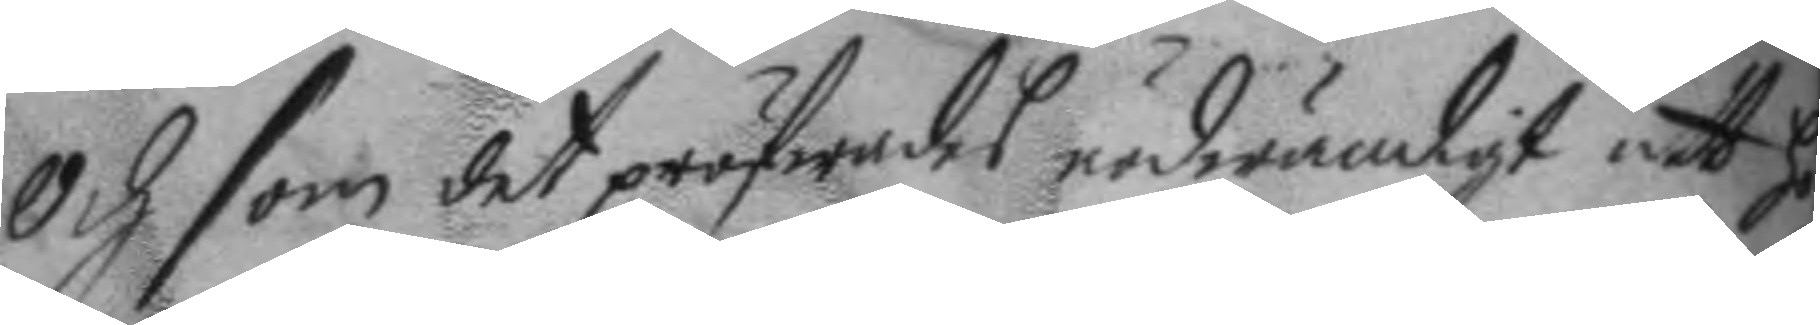och som det pröfwades nödwändigt att hö¬
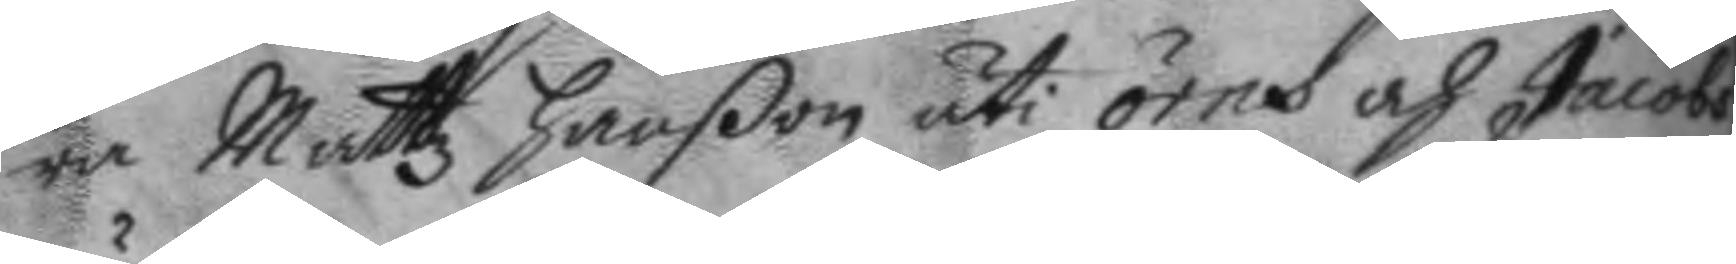ra Mattz hanßon uti örns och Jacobs
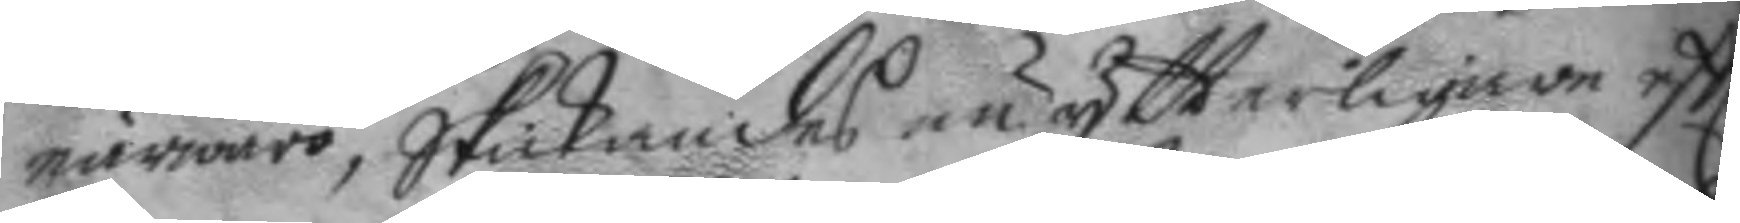närwaro, Skickades nu ytterligare eftter
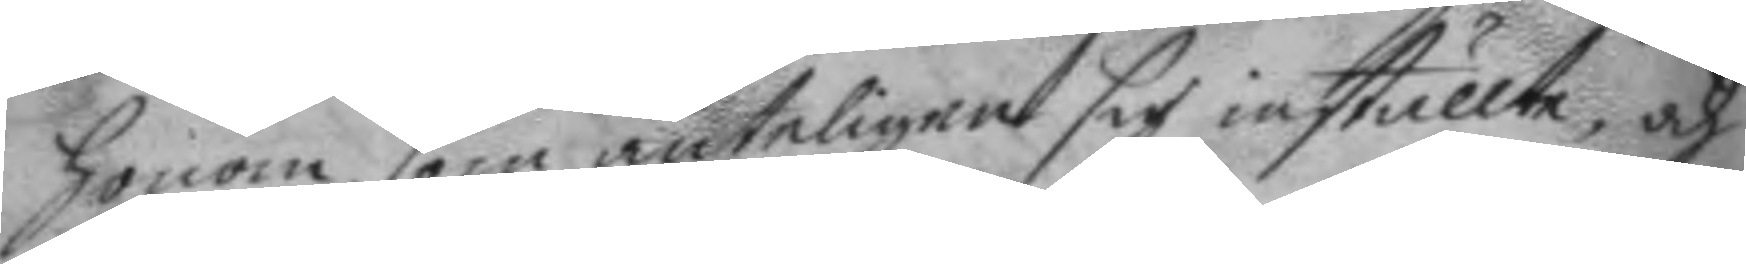honom, som änteligen sig inställte, och
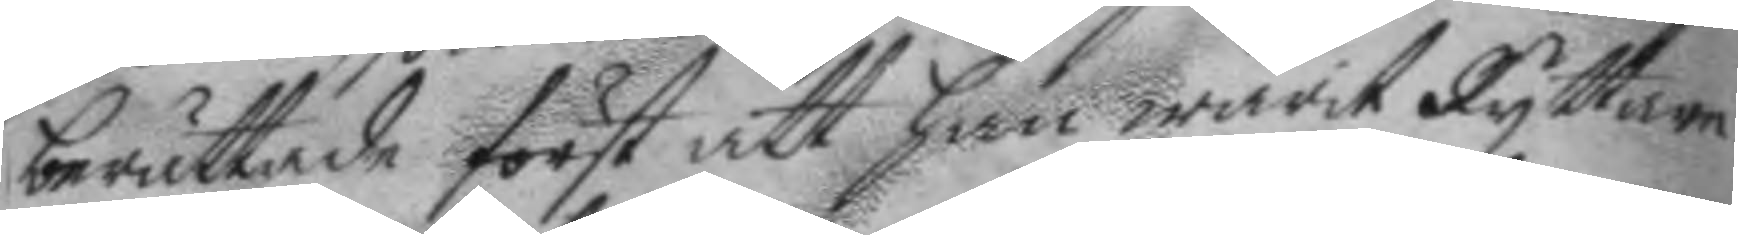berättade först att han warit ryttare
